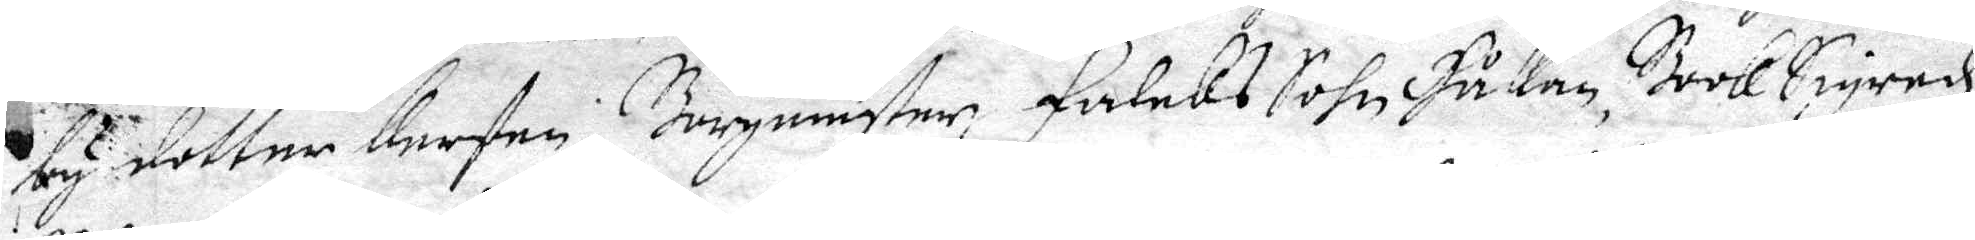by dotter Kersten; Borgmäster Falcks Sohn Håkan, BookSigred
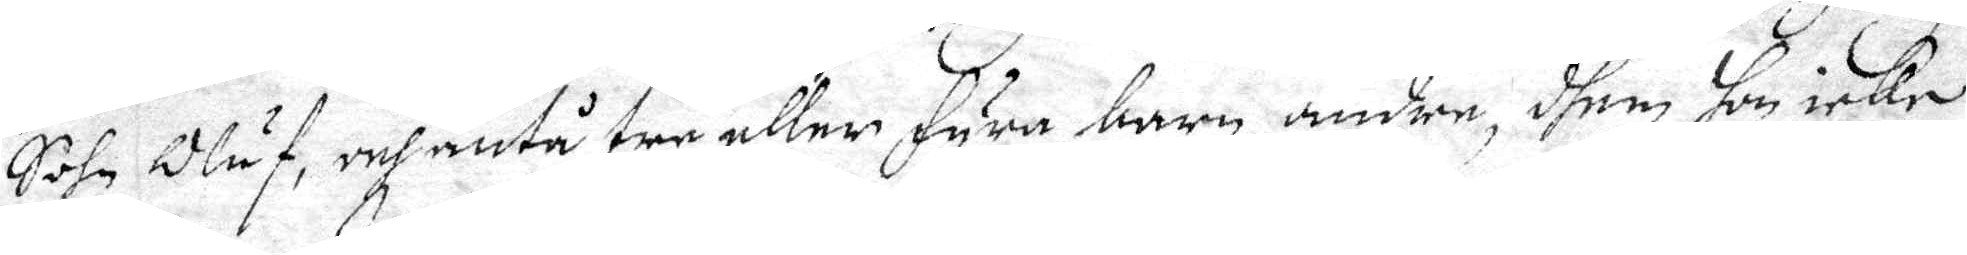Sohn Oluf, och äntå tre eller fyra barn andre, dhem hon icke
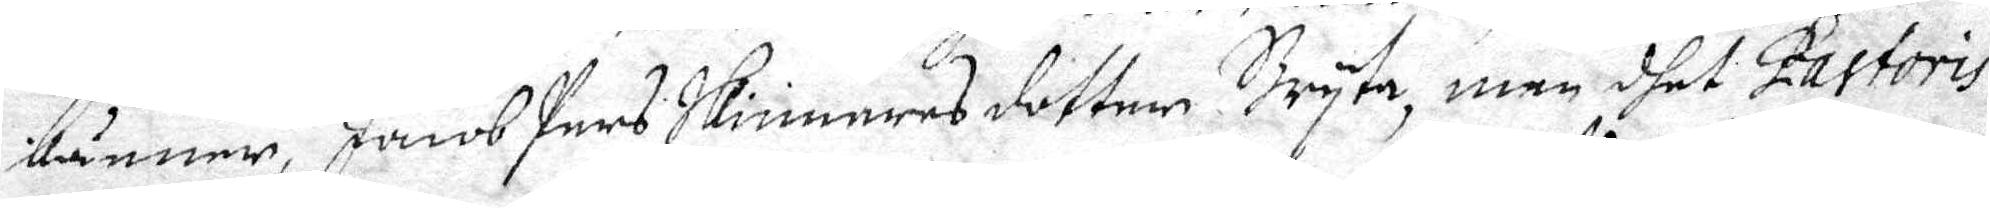känner, Jacob Pers Skinnares dotter Bryta, men dhet Pastoris
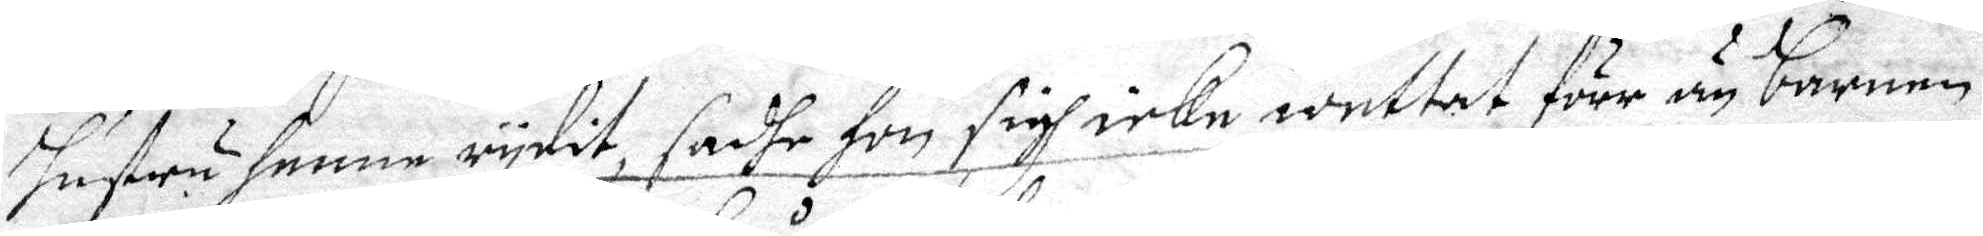hustru henne rydit, sadhe hon sigh icke wettat förr än barnen
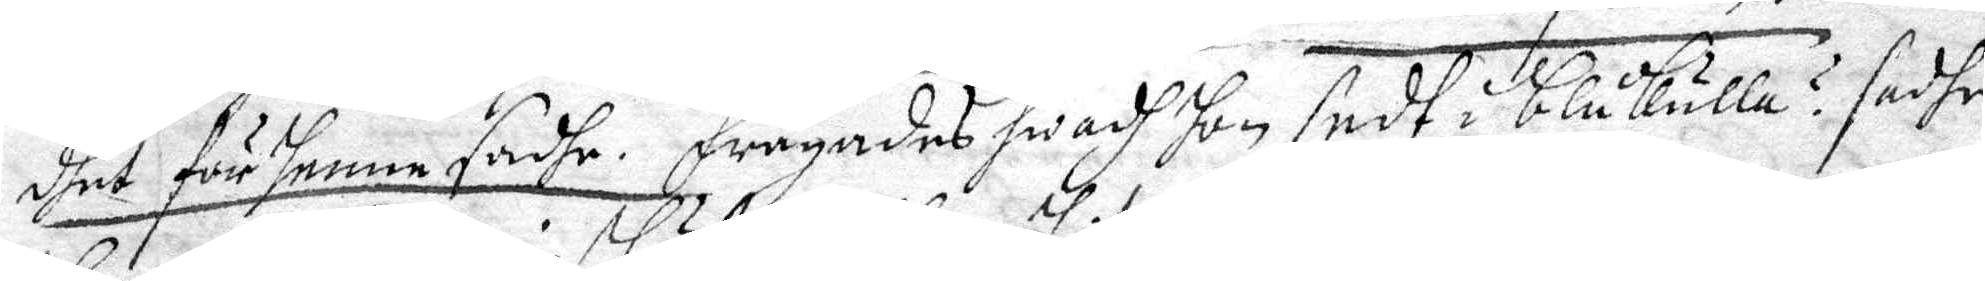dhet för henne sadhe. frågades hwadh hon sedt i Blåkulla? sadhe
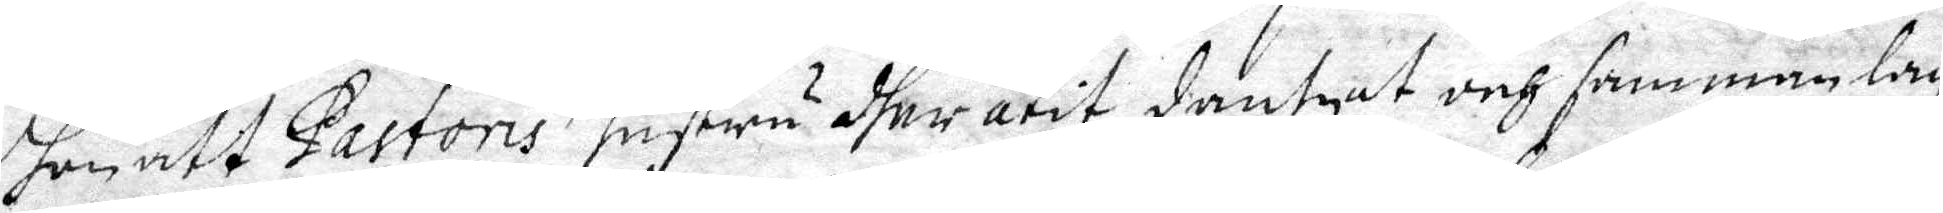hon att Pastoris hnstru dher ätit, dantzat och sammanlag
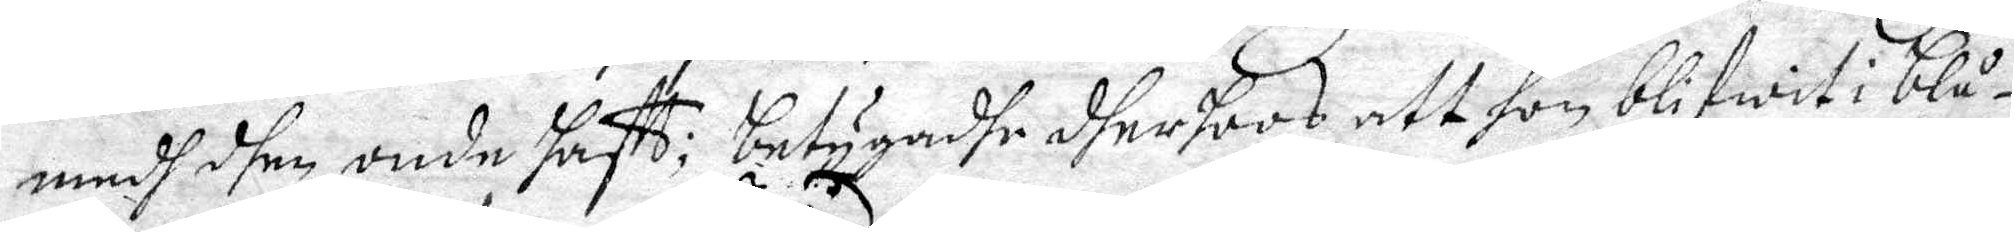medh dhen onde hafft; betygadhe dher hoos att hon blifwit i blå¬
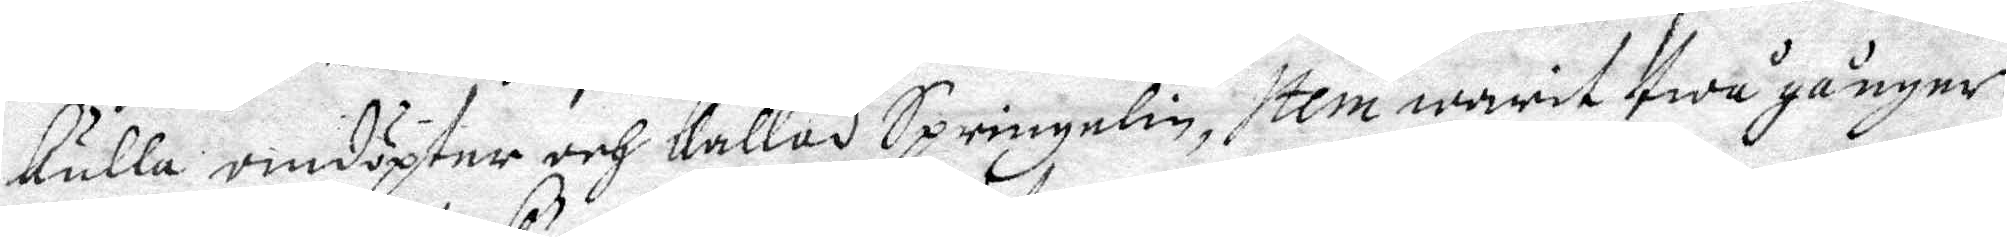kulla omdöpter och kallad Springelin, Item warit twå gånger,
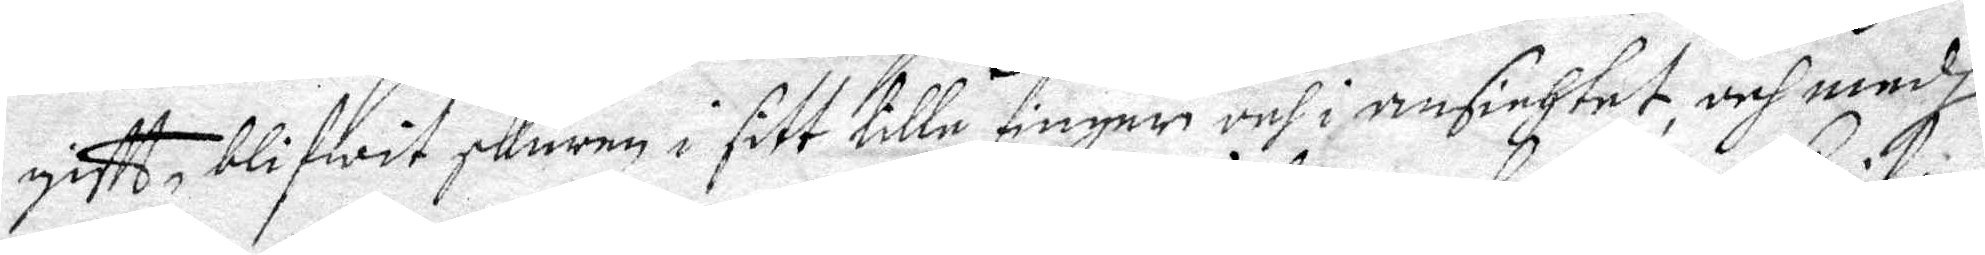gifft, blifwit skuren i sitt lilla finger och i ansichtet, och medh
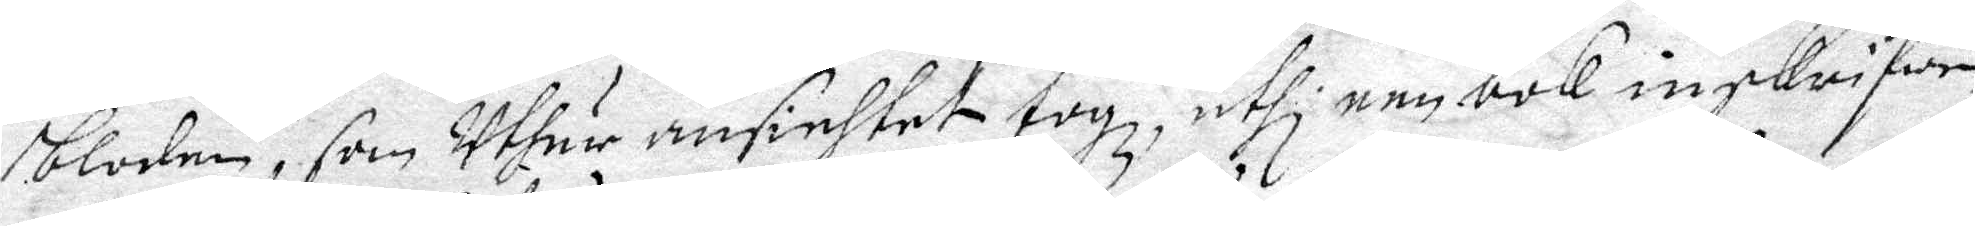bloden, som uthur ansinhtet togz, uthi een bok inskrifwen
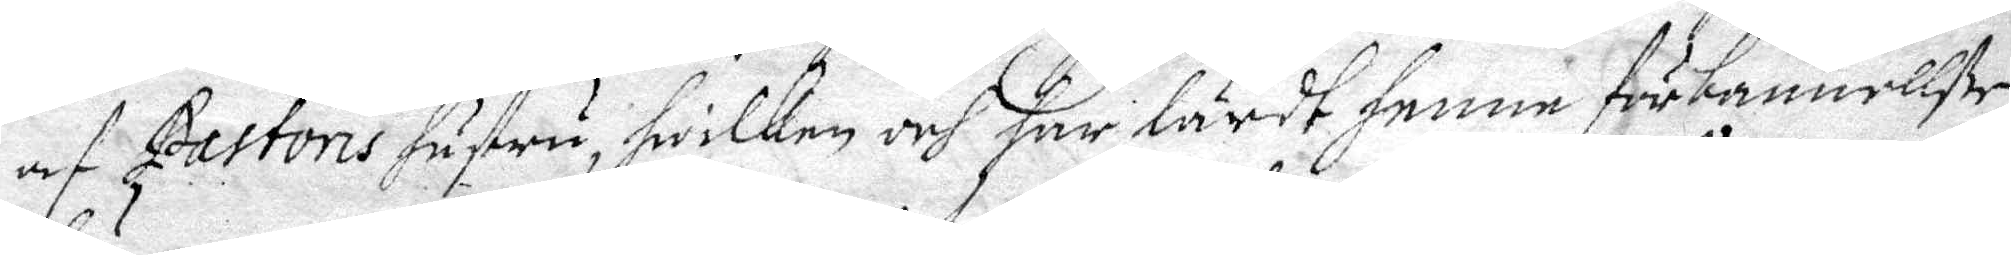af Pastoris hustru, hwilken och har lärdt henne förbannelße
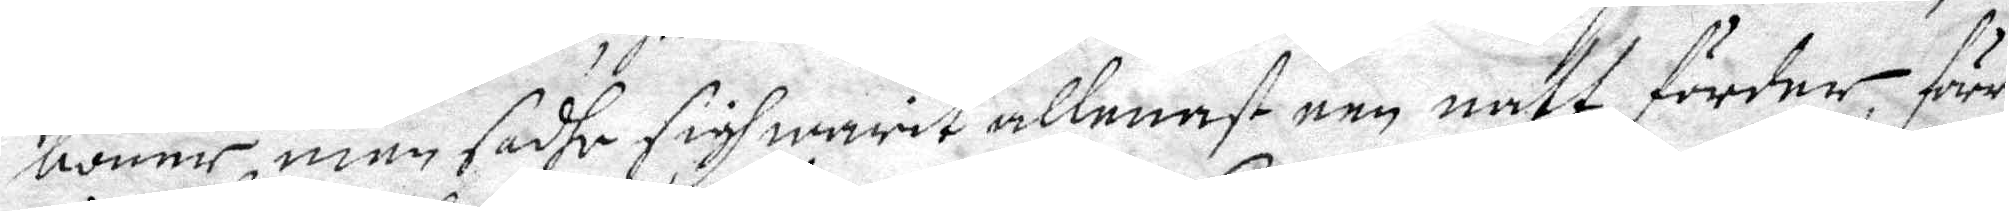böner, men sadhe sigh warit allenast een natt förder förr
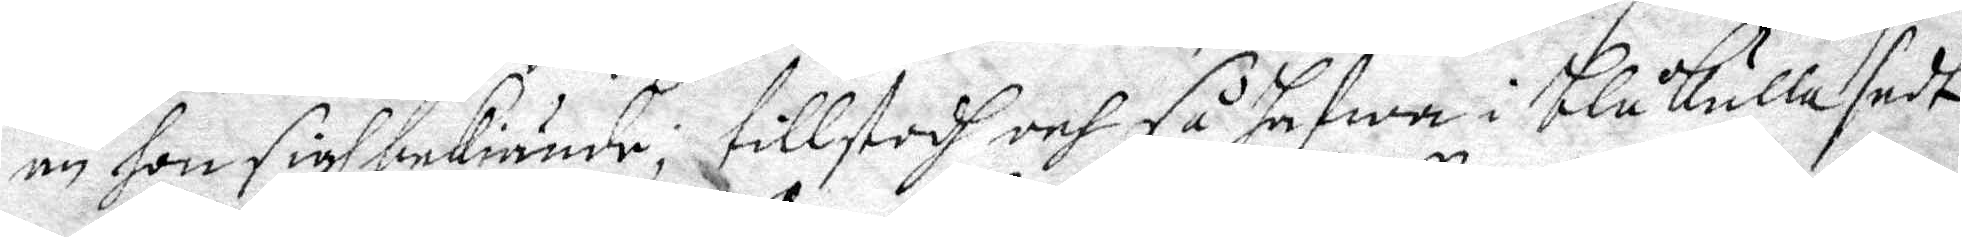än hon sigh bekiände, tillstodh och så hafwa i Blåkulla sedt
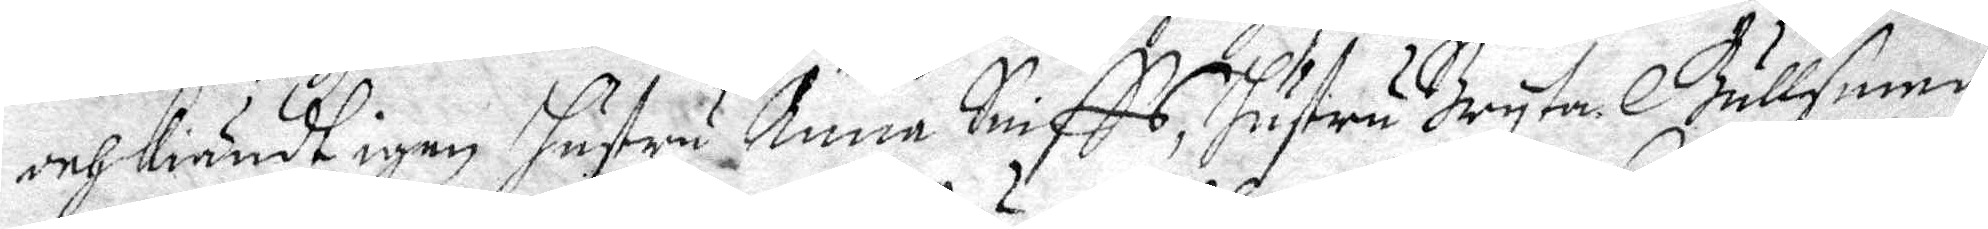och Kiändt igen hustru Anna Sniffs, hustru Bryta Gullsmedh
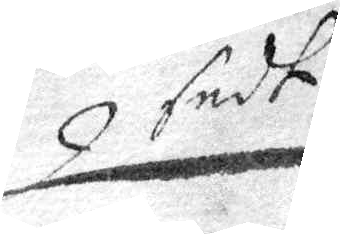sedt
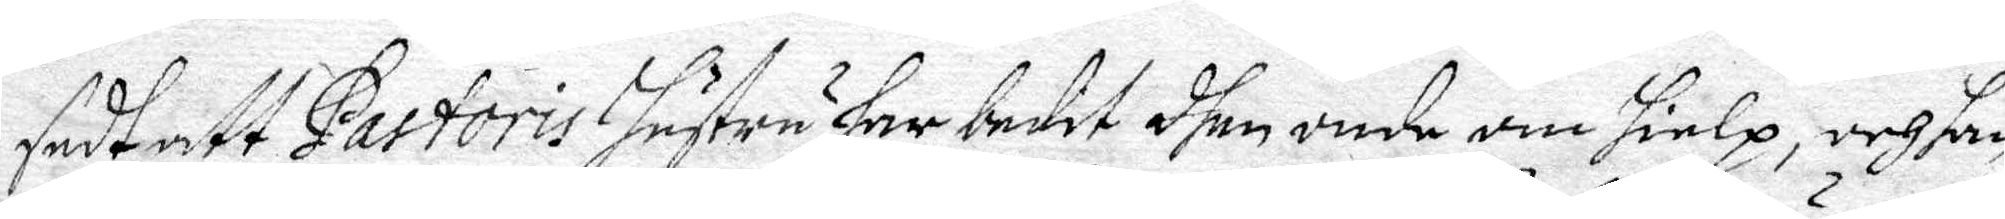sedt att Pastoris hustru har bedit dhen onde om hielp, och han
